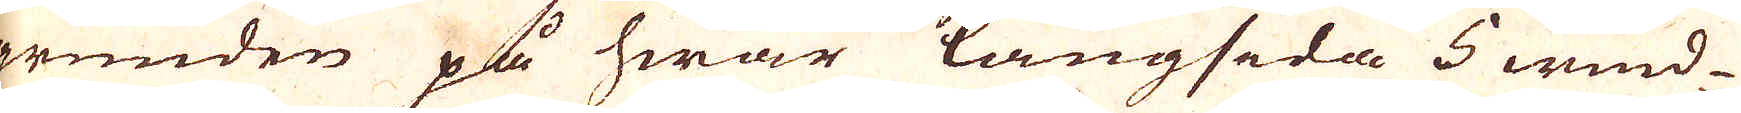grunden på hwar långsida 5 wind-
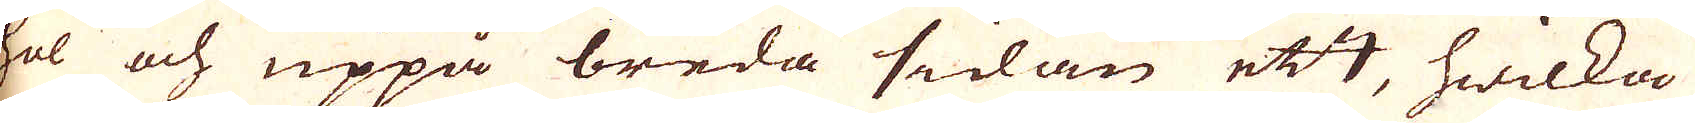hol och uppå breda sedan ett, hwilka
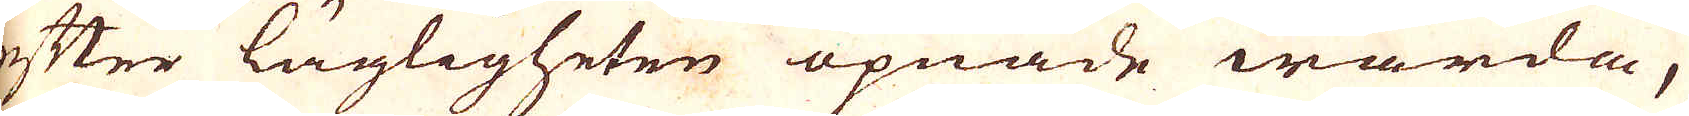efter lägligheten öpnade warda,
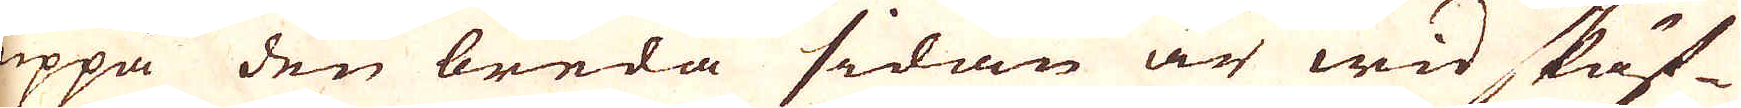uppå den breda sidan är wid skäf-
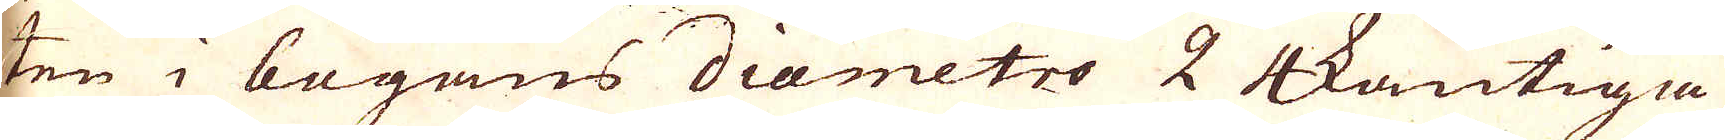ten i bogans diametro 2 4kantiga
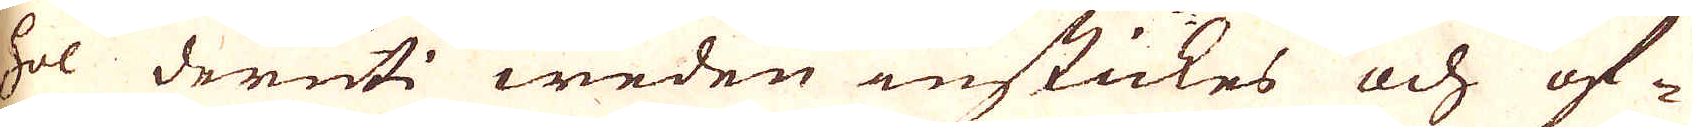hol deruti weden instickes och of-
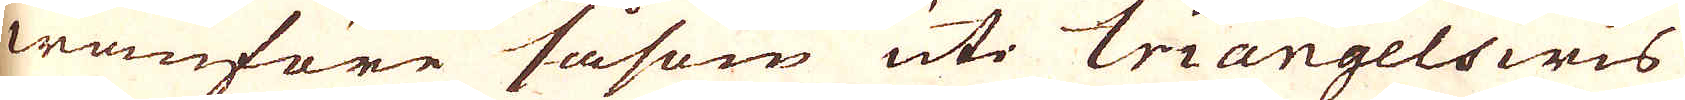wanföre såsom uti Triangelswis
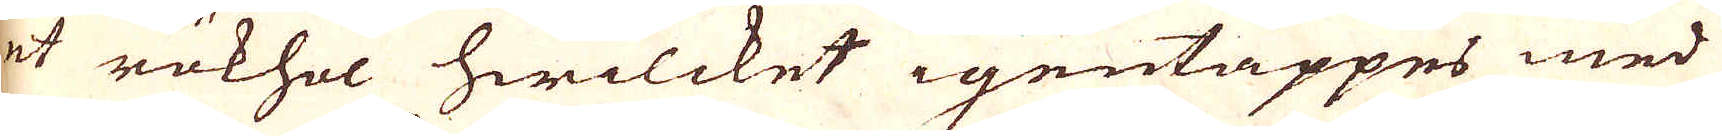et rökhol hwilcket igentäppes med
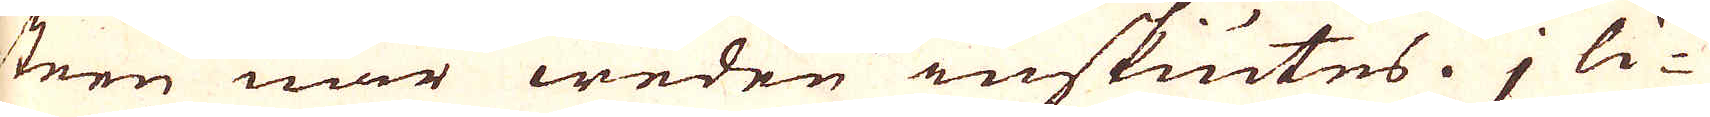steen när weden inskiutes. j li-
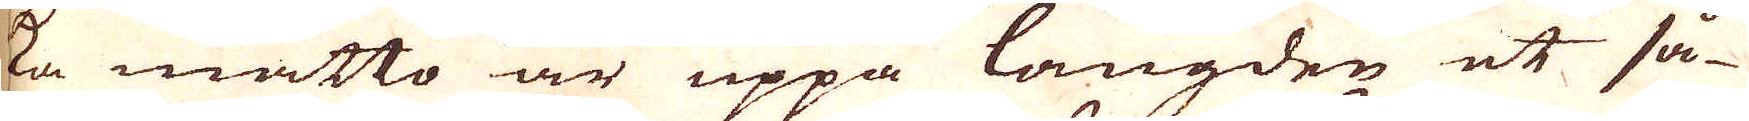ta måtto är uppå längden et så-
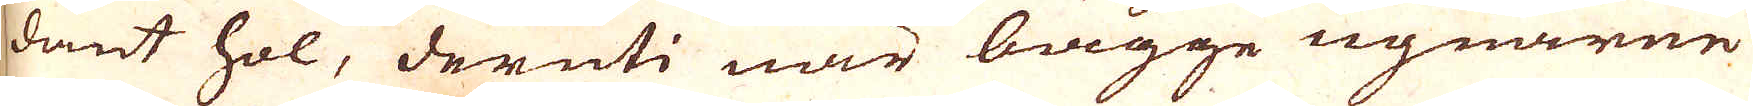dant hol, deruti när bägge ugnarne
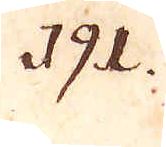191.
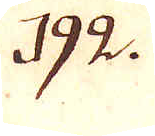192.
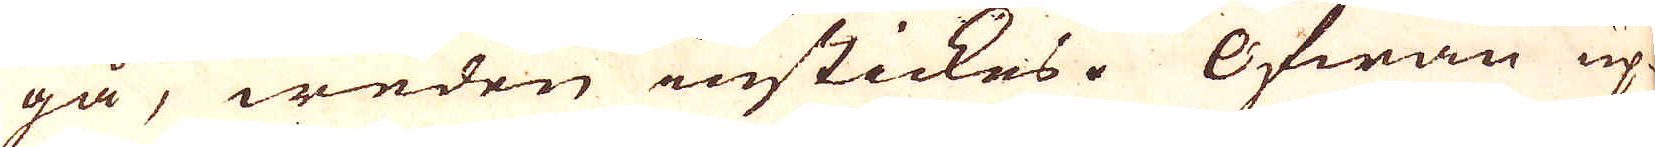gå, weden instickes. Ofwan up-
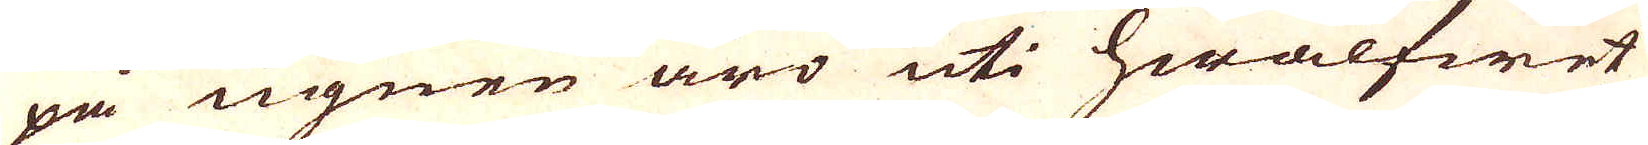på ugnen äro uti hwalfwet
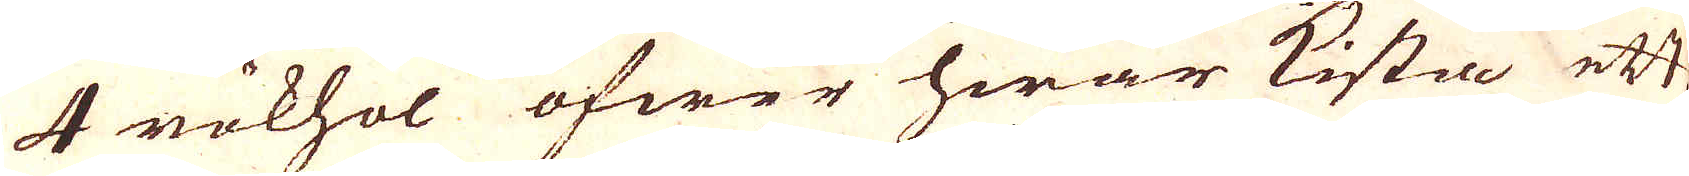4 rökhol öfwer hwar kistia ett
